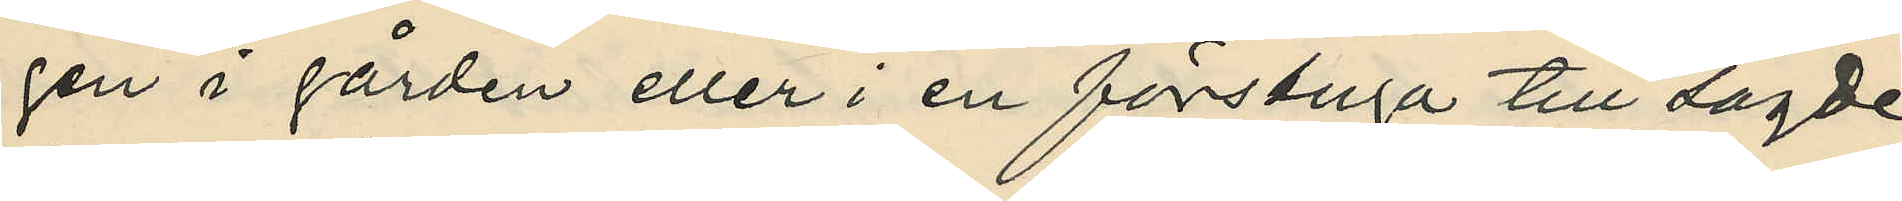gen i gården eller i en förstuga till sagde
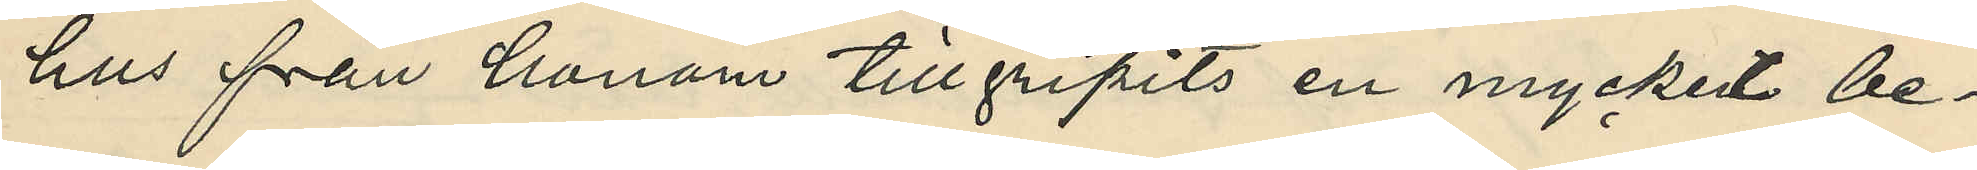hus från honom tillgripits en mycket be¬
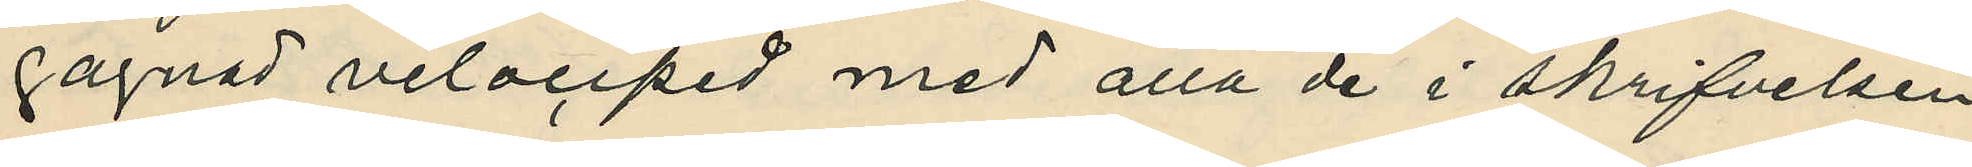gagnad velociped med alla de i skrifvelsen
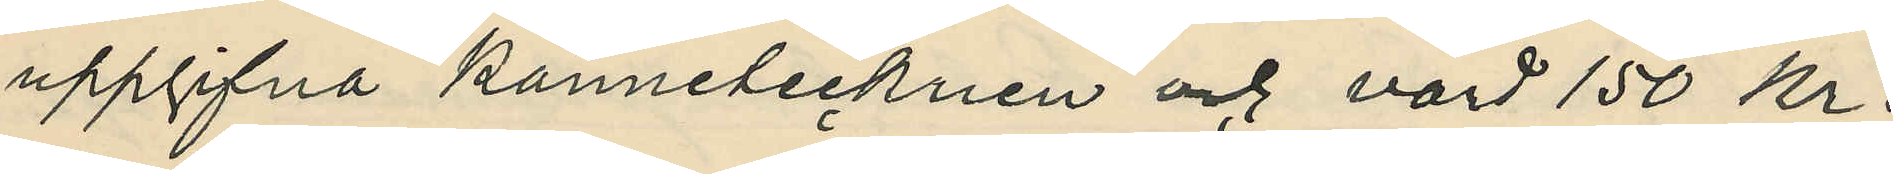uppgifna kännetecknen och värd 150 kr.
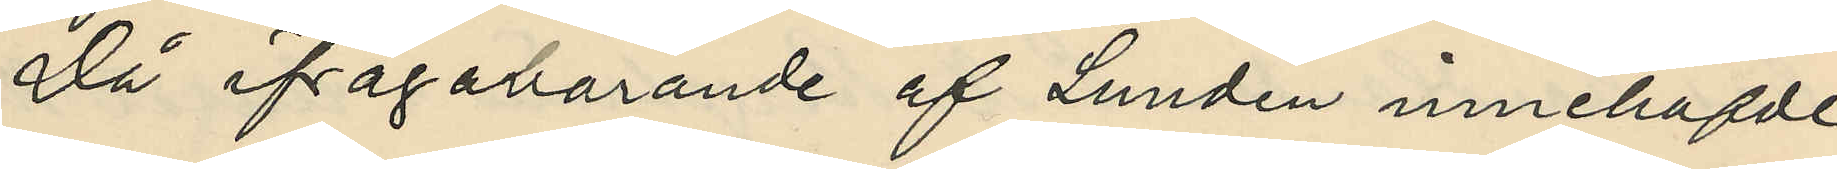Då ifrågavarande af Lundin innehafde
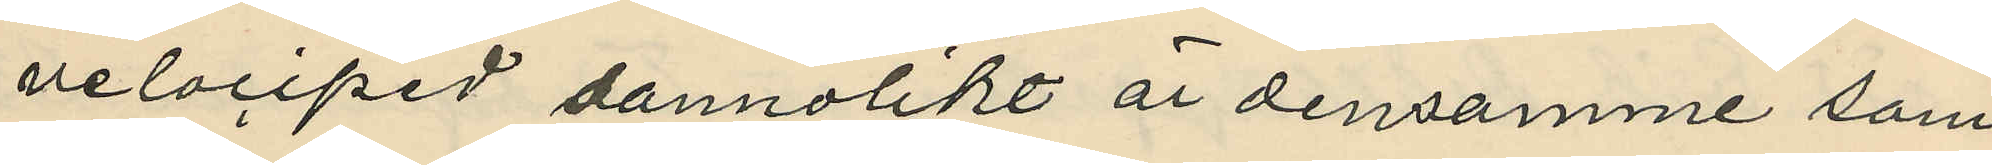velociped sannolikt är densamme som
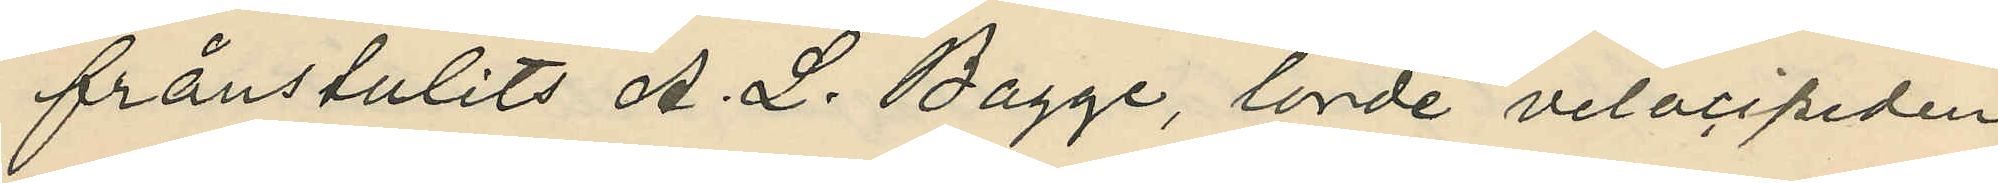frånstulits A. L. Bagge, torde velocipeden
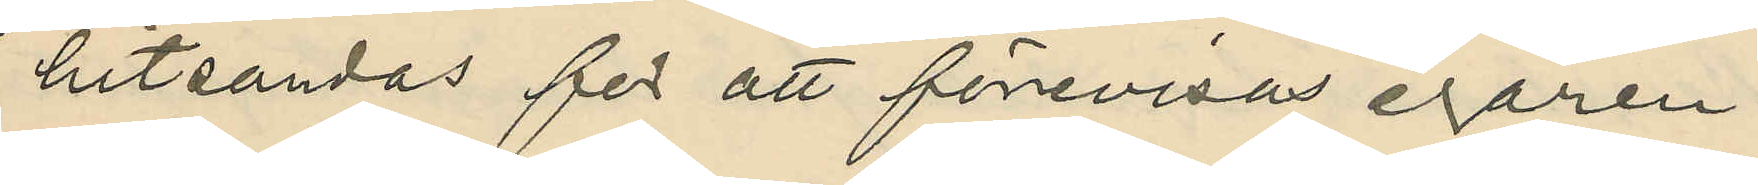hitsandas för att förevisas egaren.
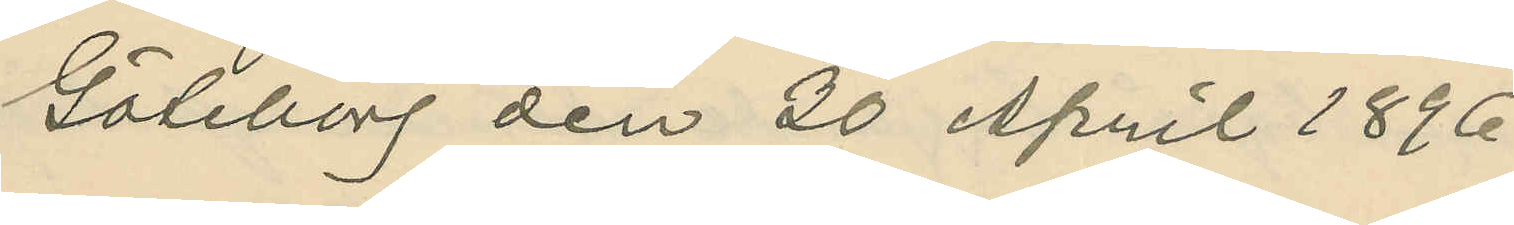Göteborg den 30 April 1896.
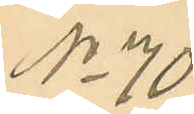No 70
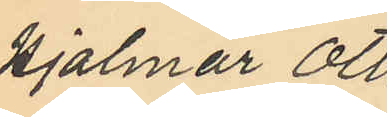Hjalmar Otto
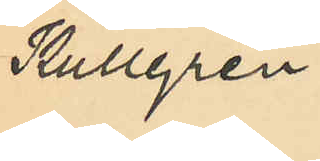Kullgren.
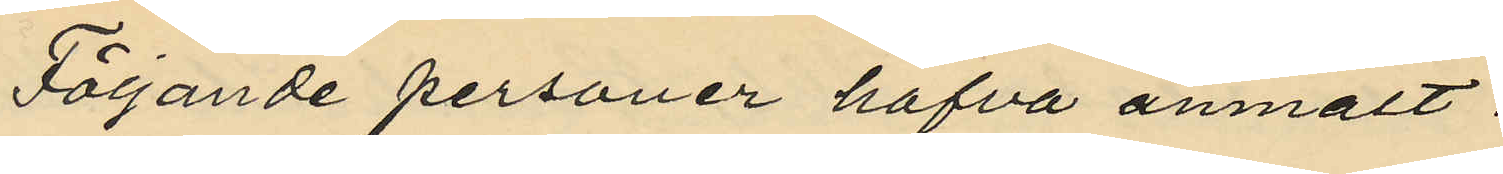Följande personer hafva anmält:
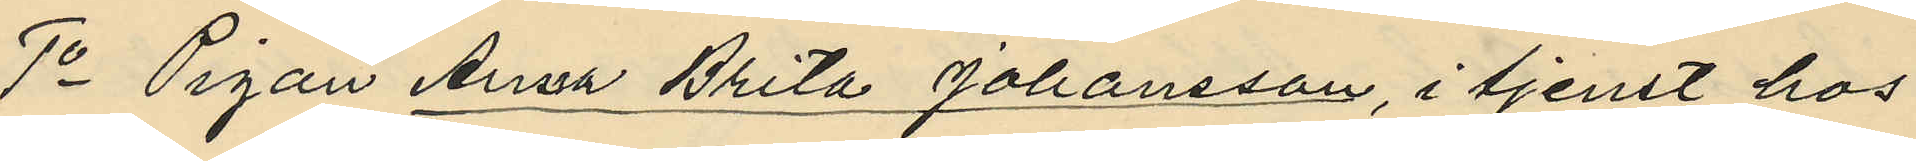1o Pigan Anna Brita Johansson, i tjenst hos
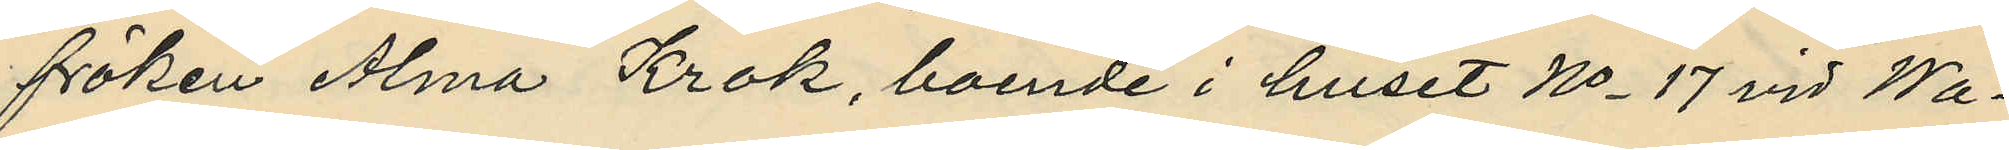fröken Alma Krok, boende i huset No 17 vid Wa¬
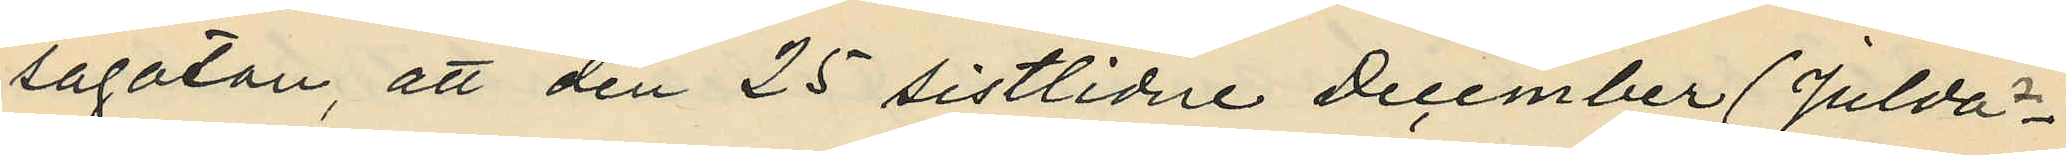sagatan, att den 25 sistlidne December (Julda¬
